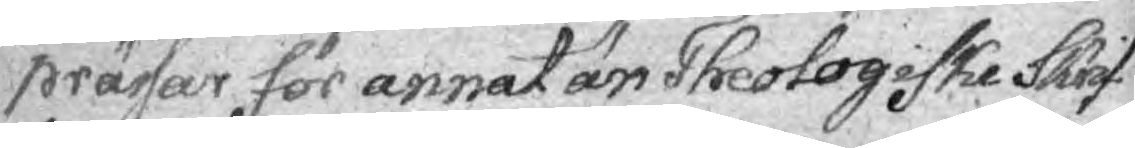prässar för annat är Theologiske Skrif¬
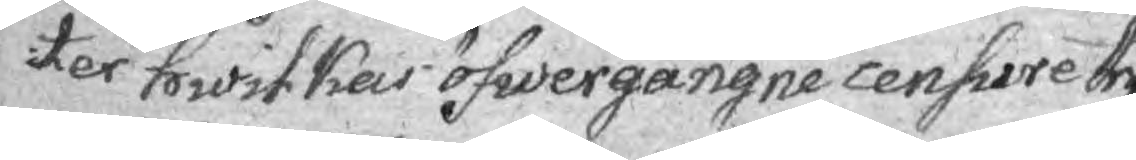ter whilkas öfwergångne censure tryg¬
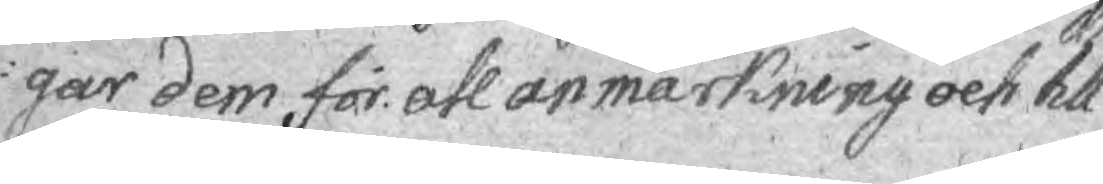gar dem för all anmärkning och till¬
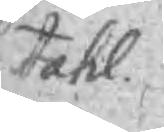tahl.
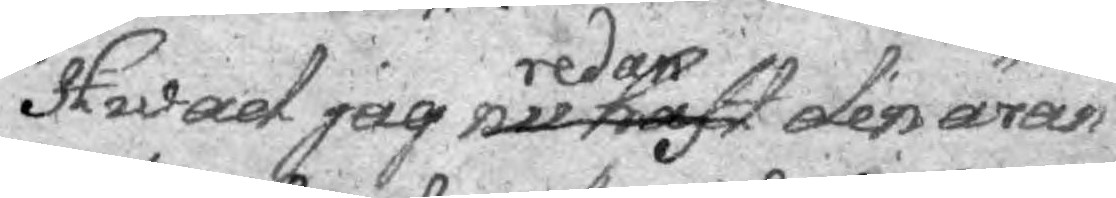Hwad jag nu haft redan den äran
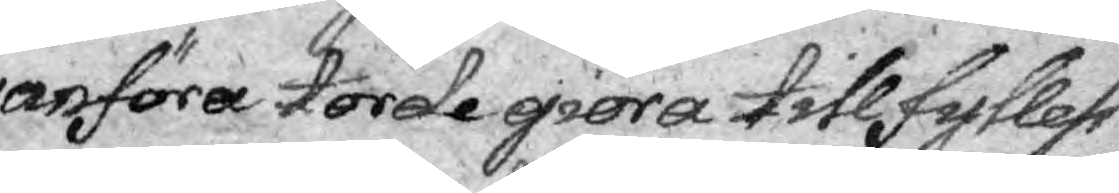anföra torde giöra tillfyllest
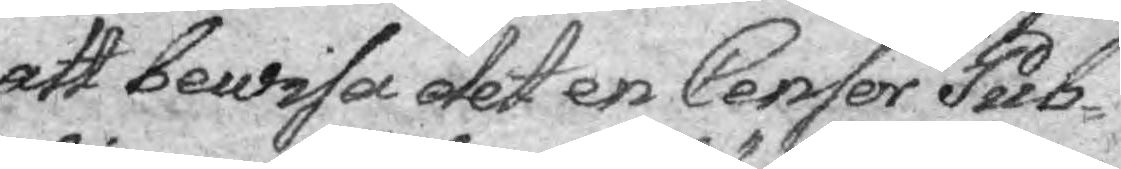att bewisa det en Censor Pub-
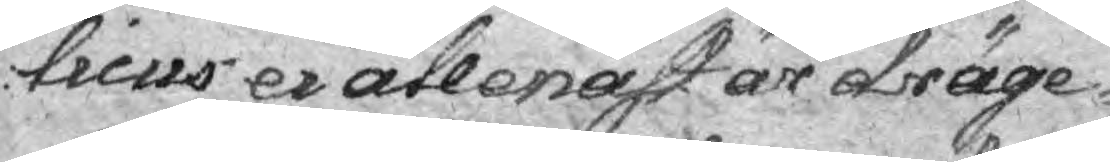licus ei allenast är dräge¬
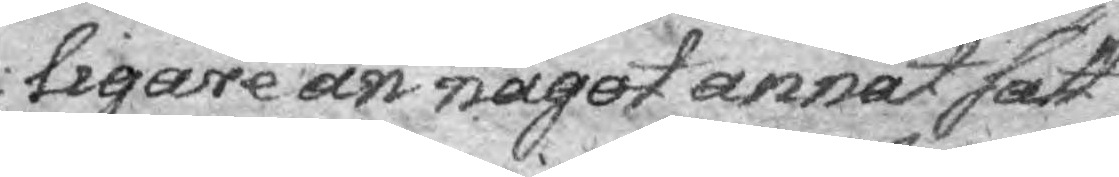ligare än något annat sätt
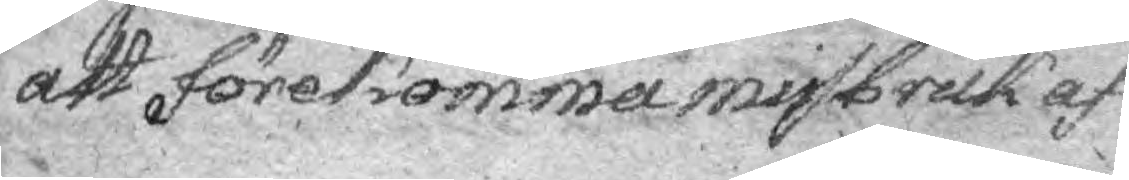att förekomma misbruk af
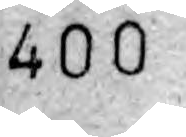400
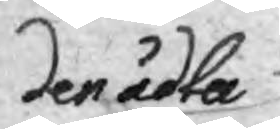den ådta
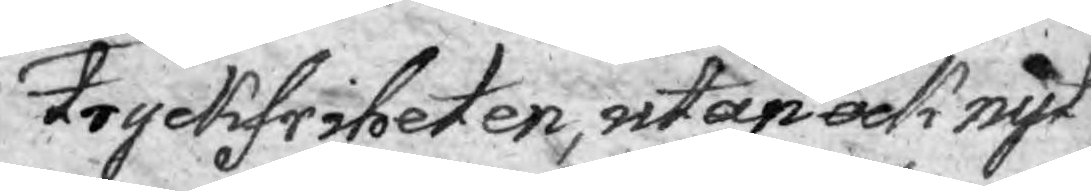Tryckfriheten, utan ock nyt¬
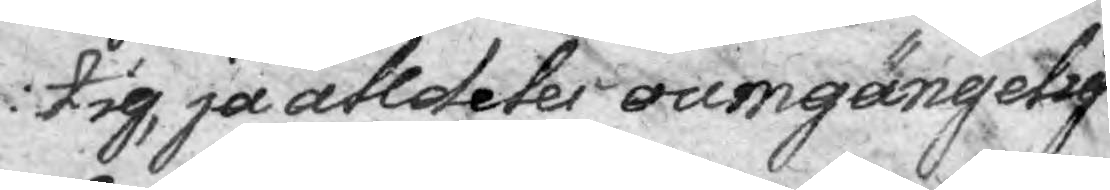ig, ja alldeles oumgängelig
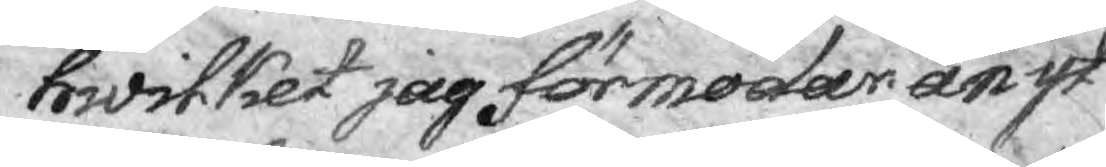hwilket jag förmodar än yt¬
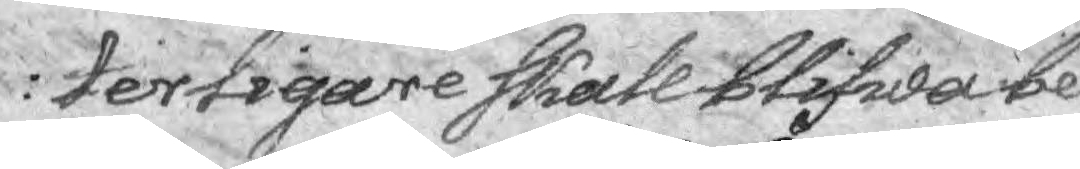terligare skall blifwa be¬
